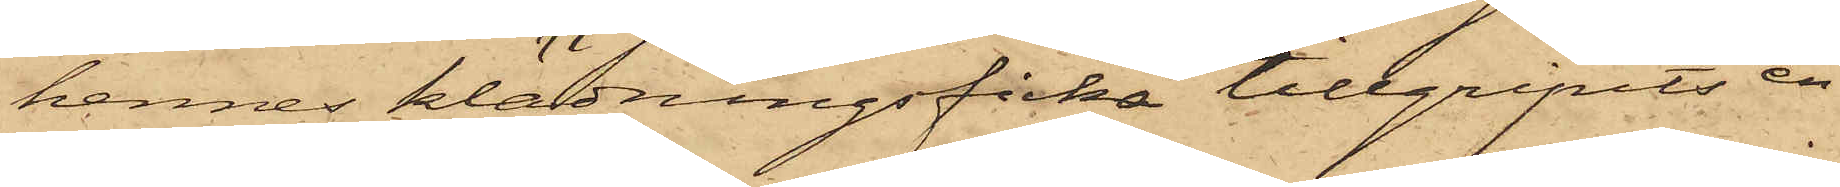hennes klädningsficka tillgripits en
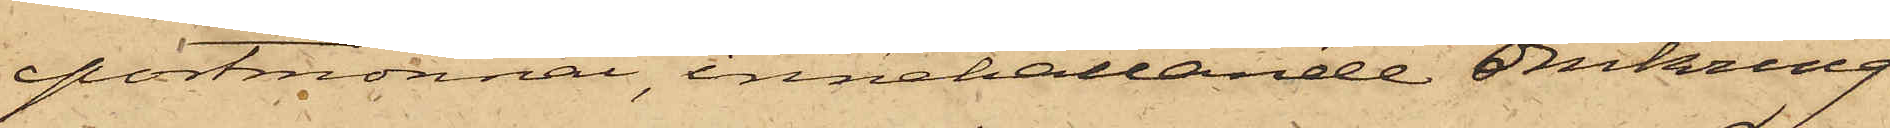portmonnai, innehållande omkring
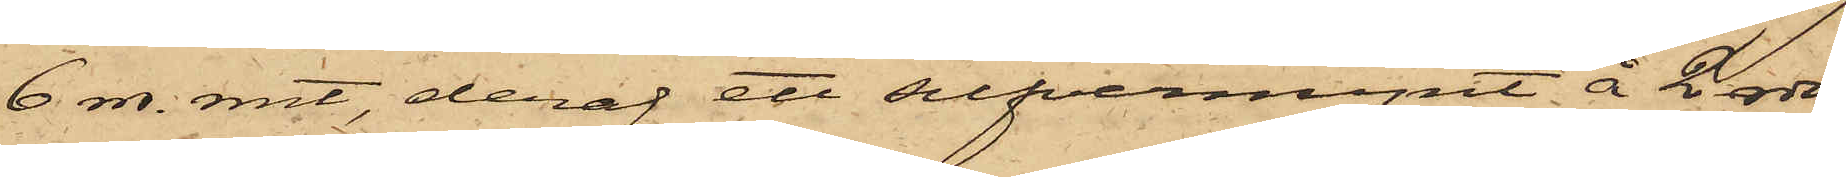6 rdr. rmt, deraf ett silfvermynt å 2 rdr,
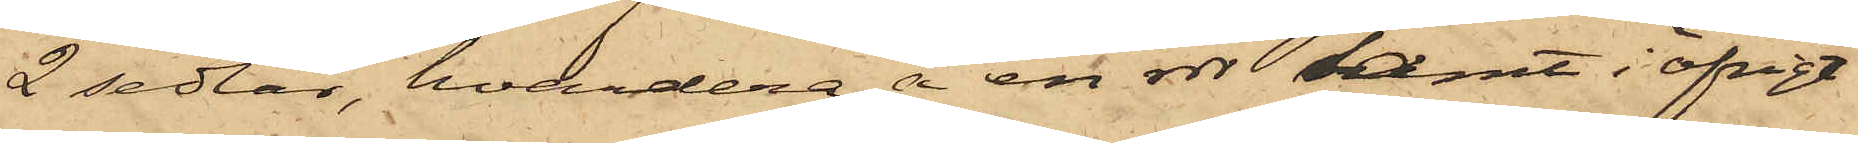2 sedlar, hvardera å en rdr samt i öfrigt
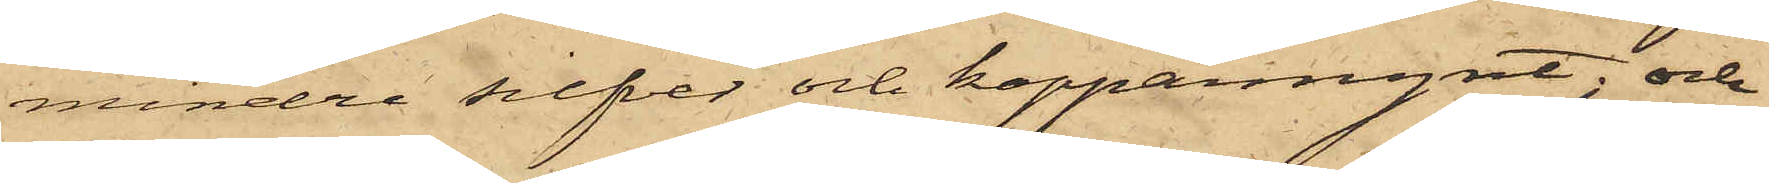mindre silfver och kopparmynt; och
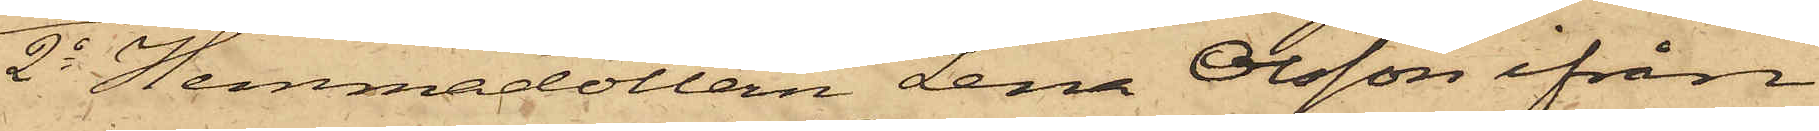2o Hemmadottern Lena Olsson ifrån
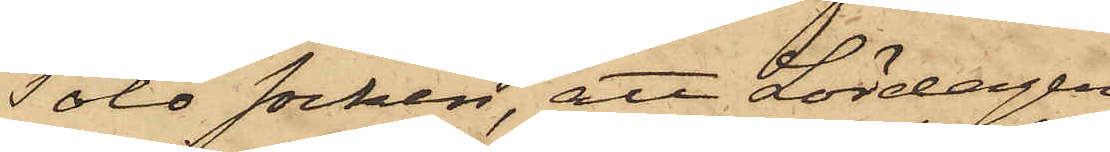Tölö socken, att Lördagen
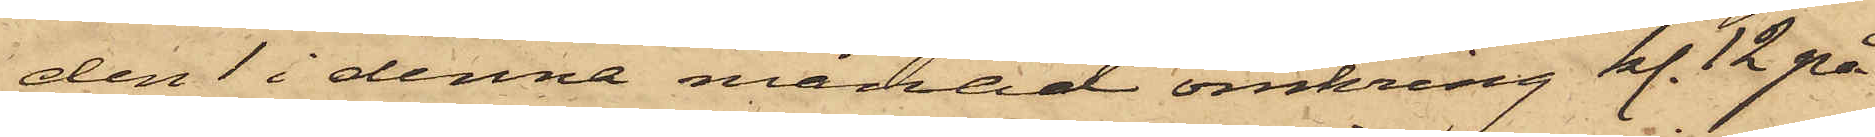den 1 i denna månad omkring kl. 12 på
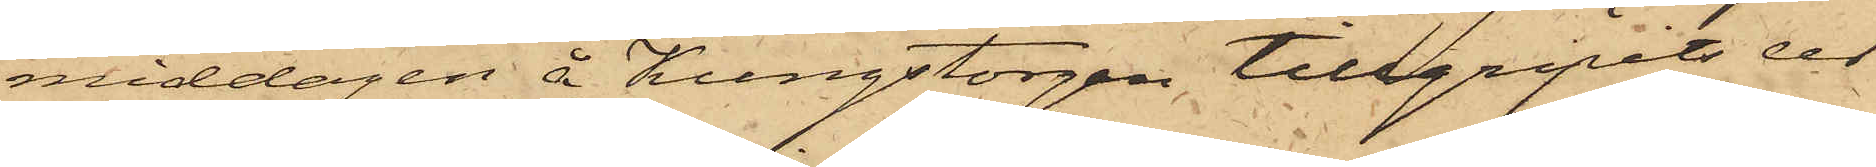middagen å Kungstorgen, tillgripits ur
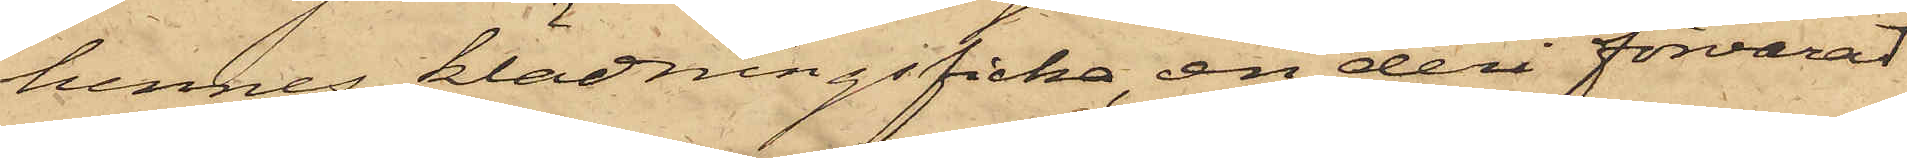hennes klädningsficka, en deri förvarad
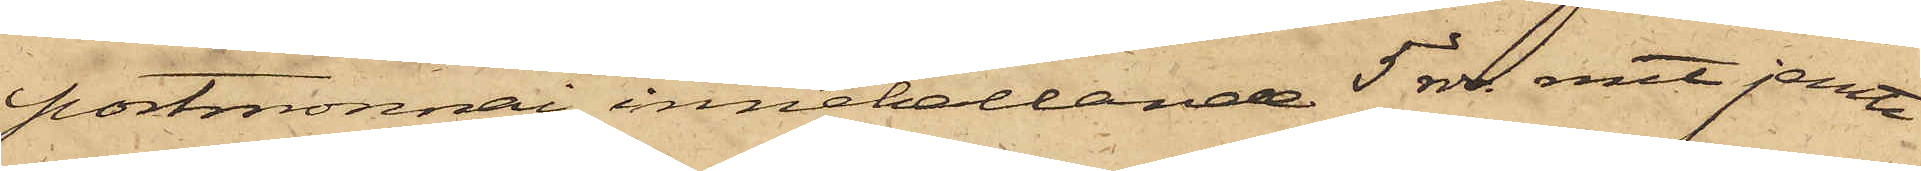portmonnai innehållande 5 rdr. rmt jemte
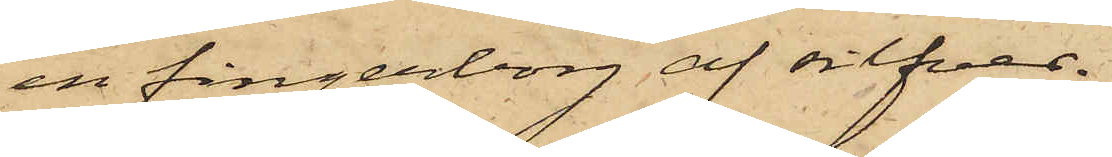en fingerborg af silfver.
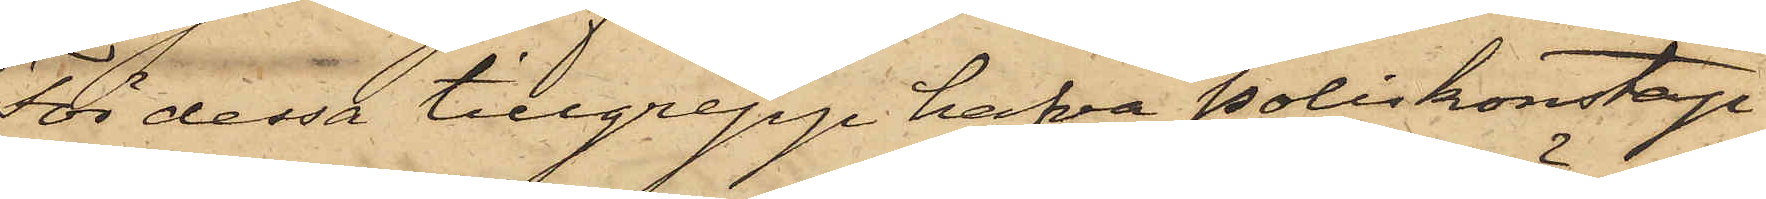För dessa tillgrepp hafva Poliskonstap¬
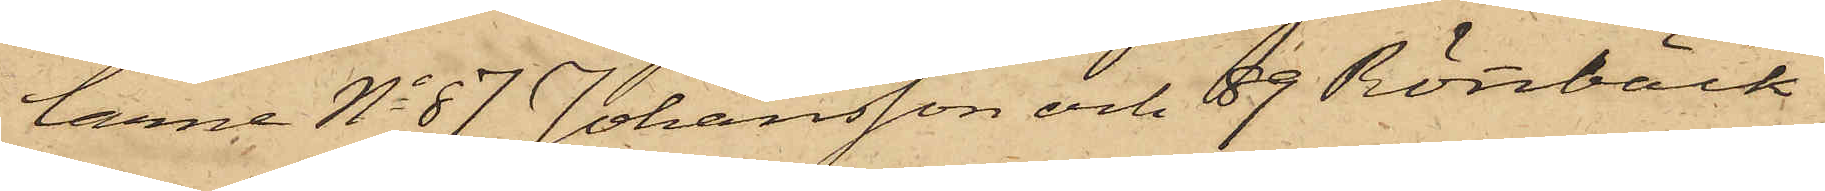larne No 87 Johansson och 89 Rönnbäck
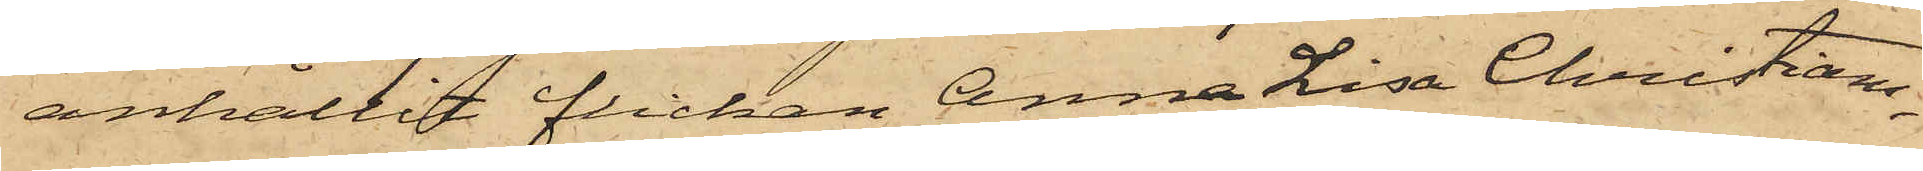anhållit flickan Anna Lisa Christians¬
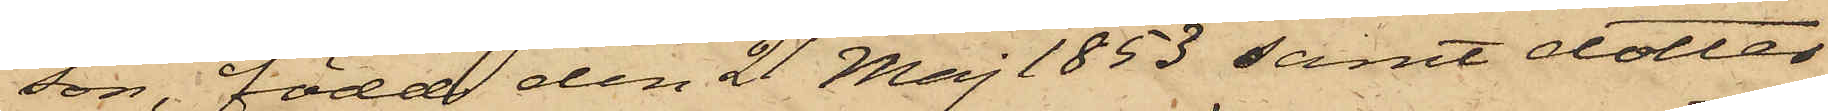son, född den 21 Maj 1853 samt dotter
